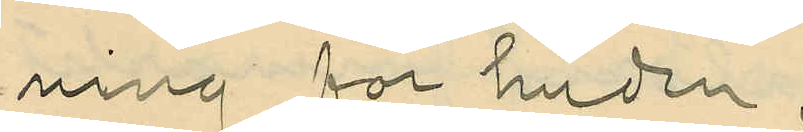ning för huden;
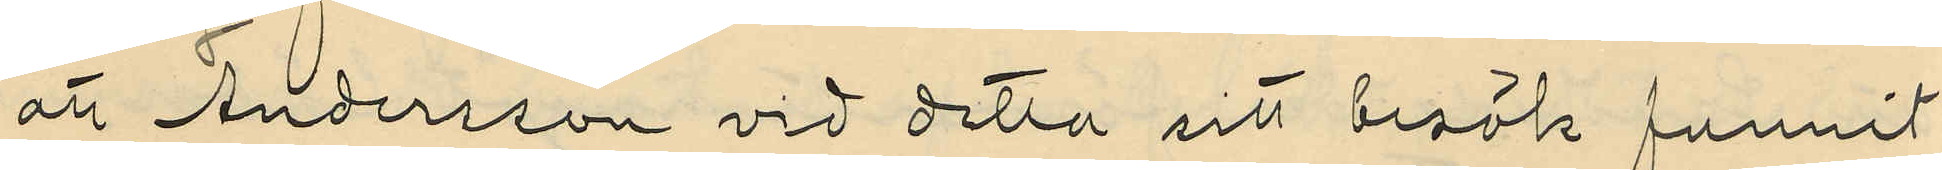att Andersson vid detta sitt besök funnit
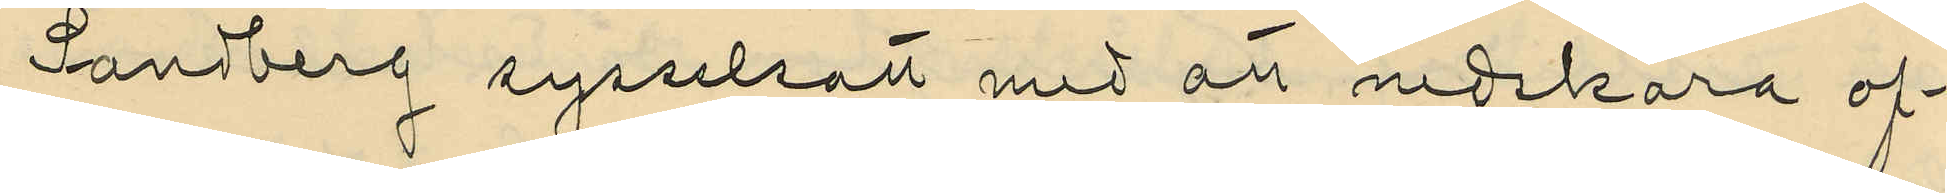Sandberg sysselsatt med att nedskara of¬
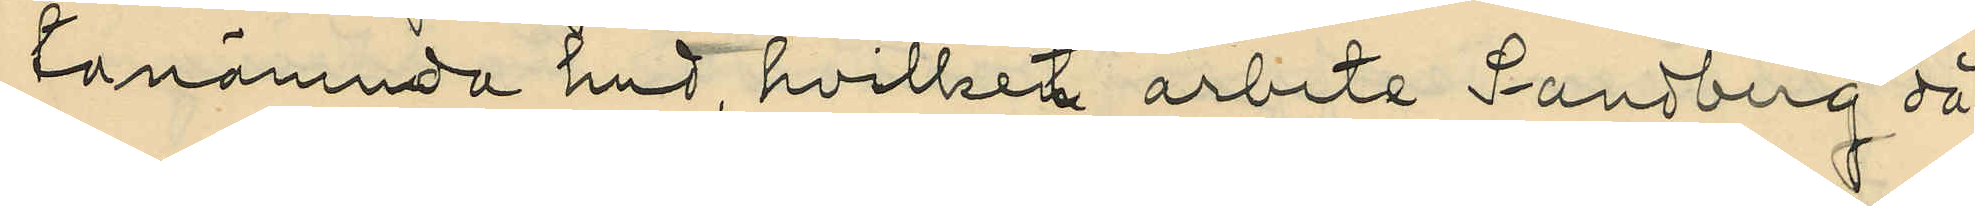tanämnda hud, hvilket arbete Sandberg då
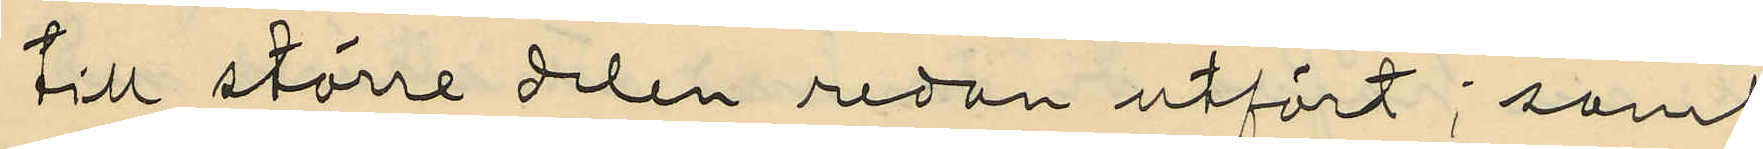till större delen redan utfört; samt
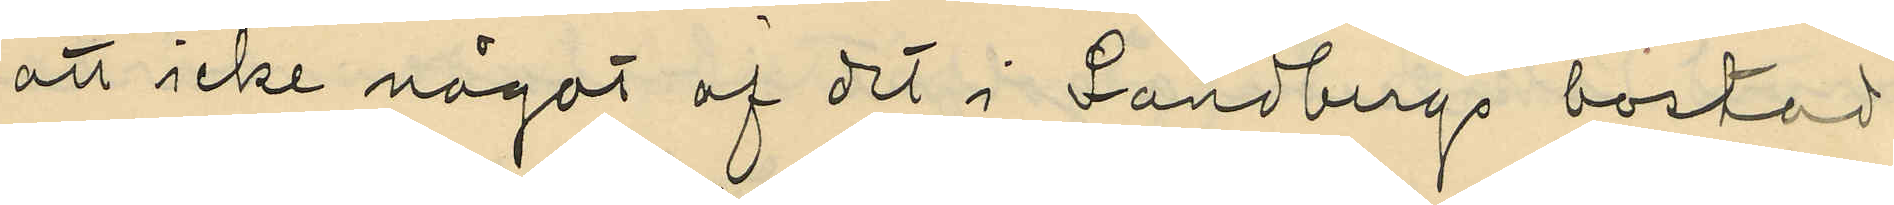att icke något af det i Sandbergs bostad
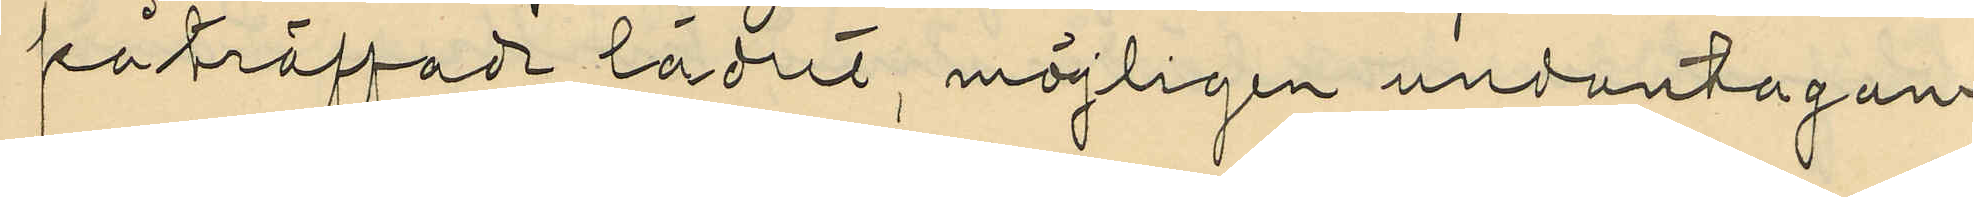påträffade lädret, möjligen undantagan¬
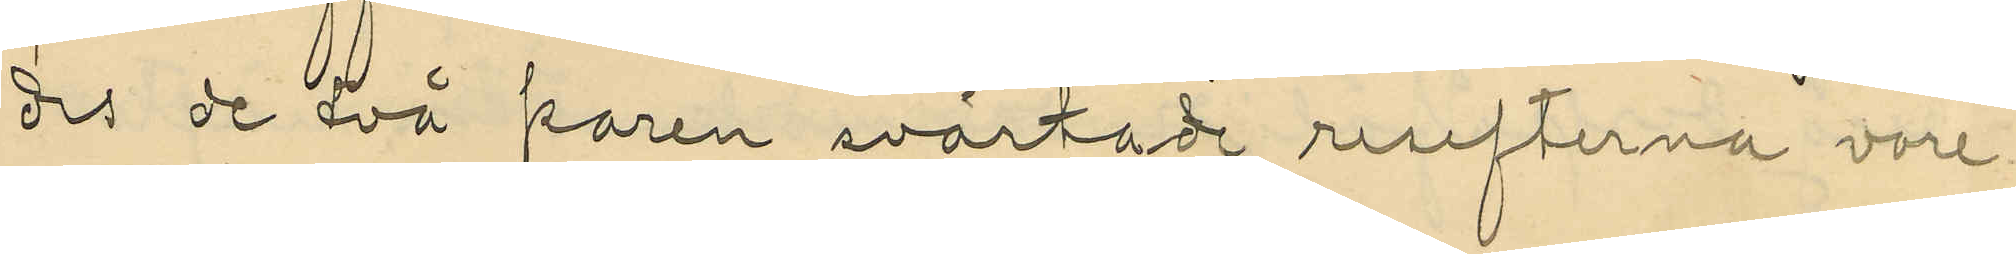des de två paren svärtade resefterna vore
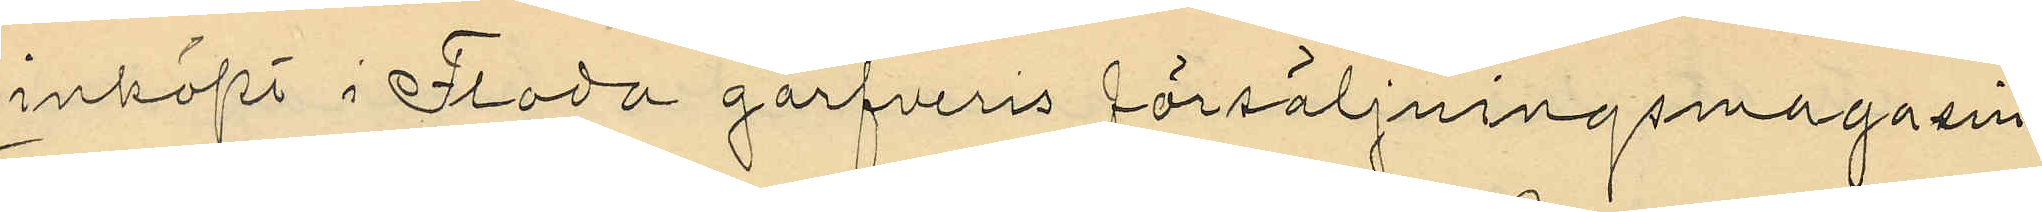inköpt i Floda garfveris försäljningsmagasin.
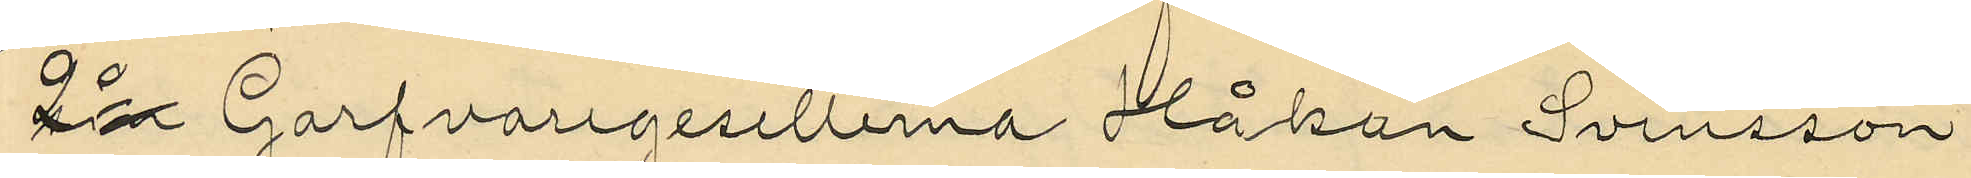2o Garfvaregesellerna Håkan Svensson
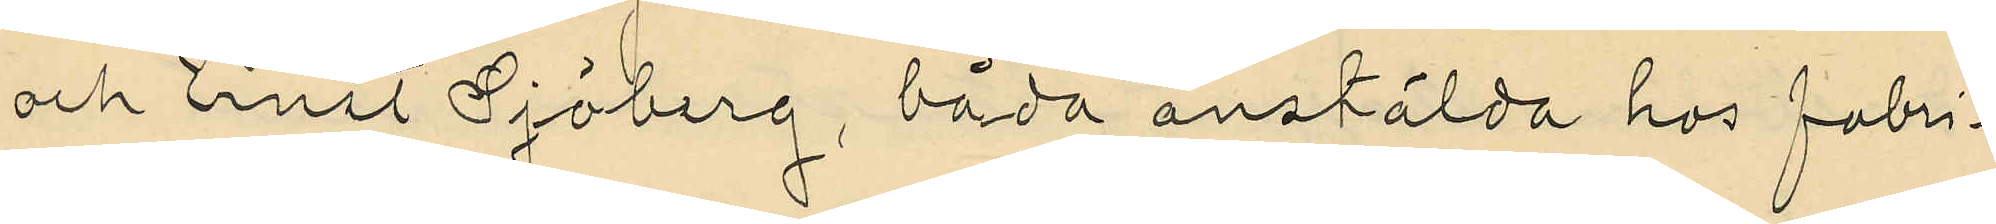och Ernst Sjöberg, båda anstälda hos fabri¬
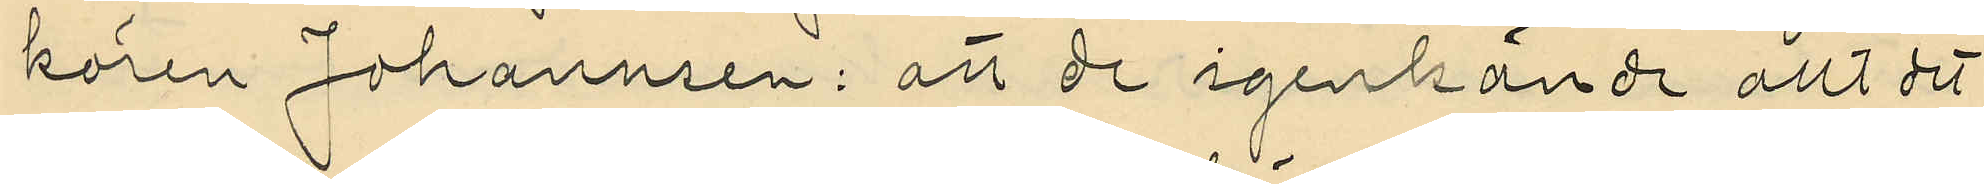kören Johannsen: att de igenkändt allt det
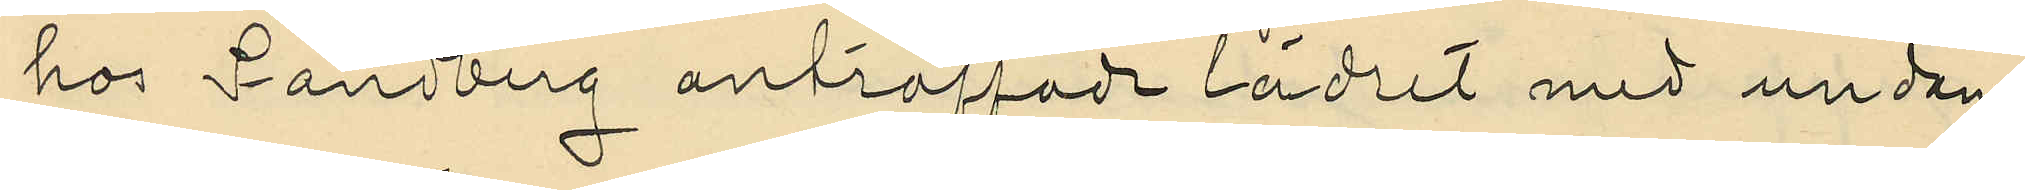hos Sandberg anträffade lädret med undan¬
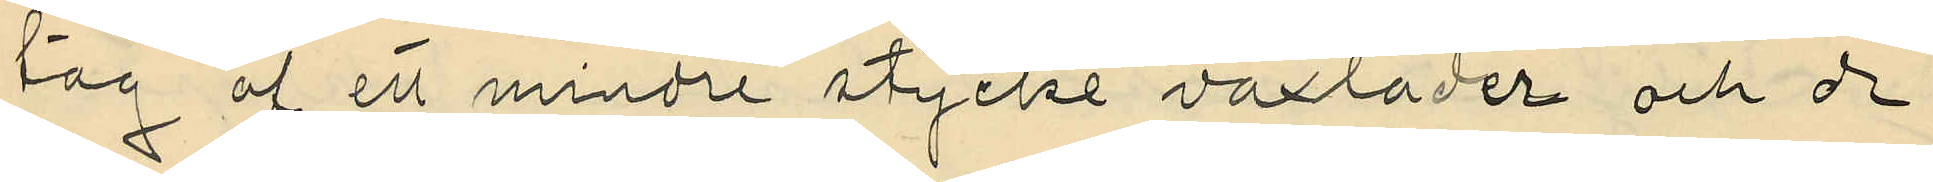tag af ett mindre stycke vaxläder och de
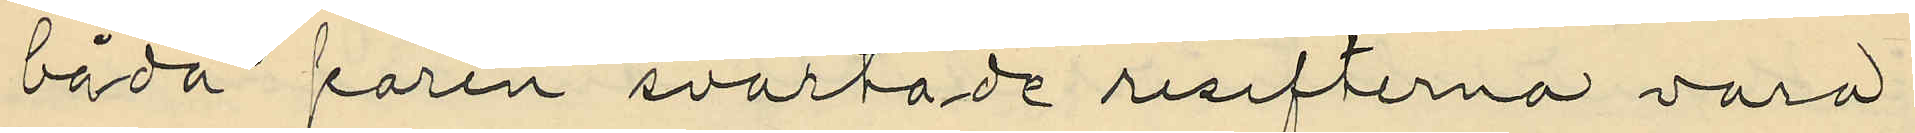båda paren svartade resefterna vara
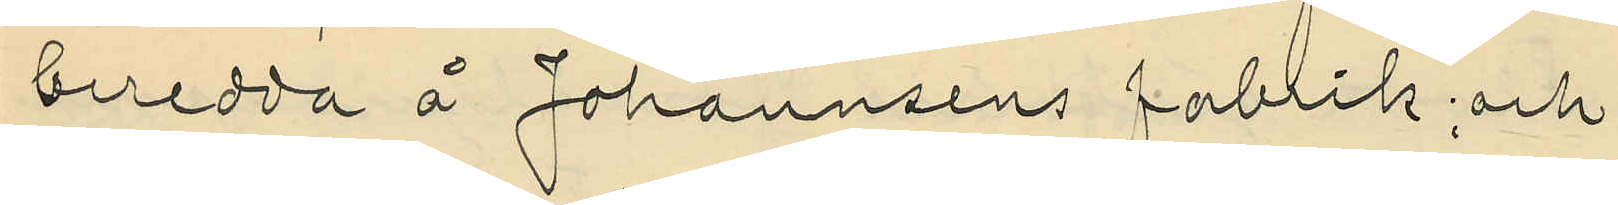beredda å Johannsens fabrik; och
